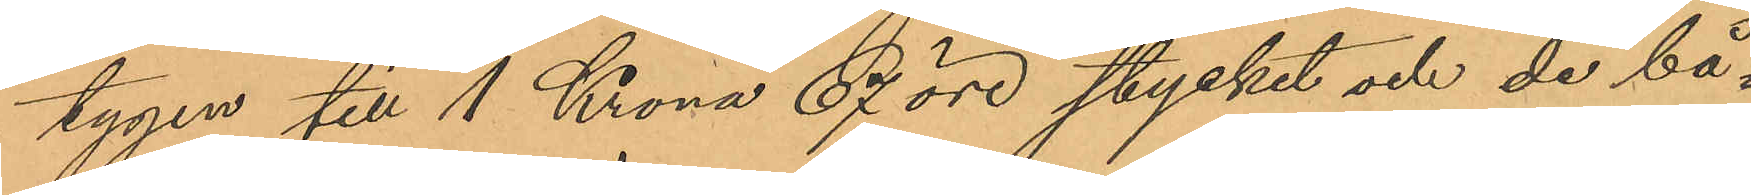tygen till 1 Krona 67 öre stycket och de bå¬
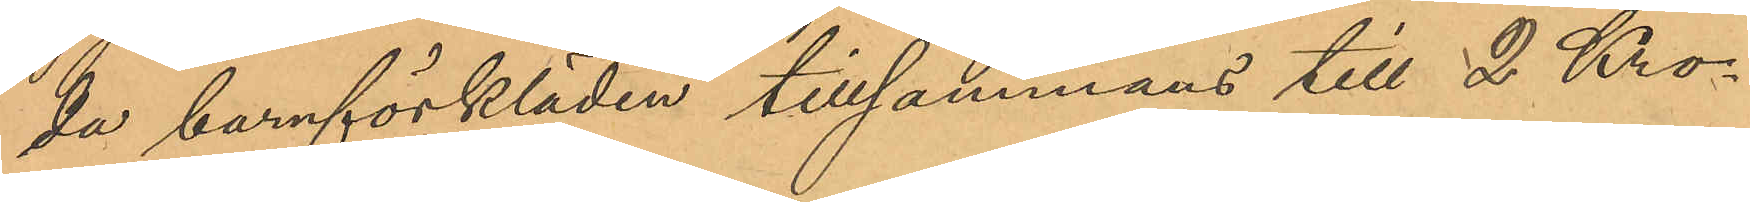da barnförkläden tillsammans till 2 Kro¬
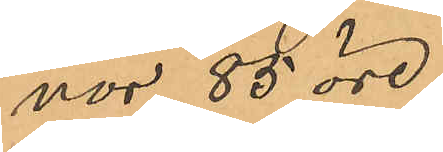nor 85 öre,
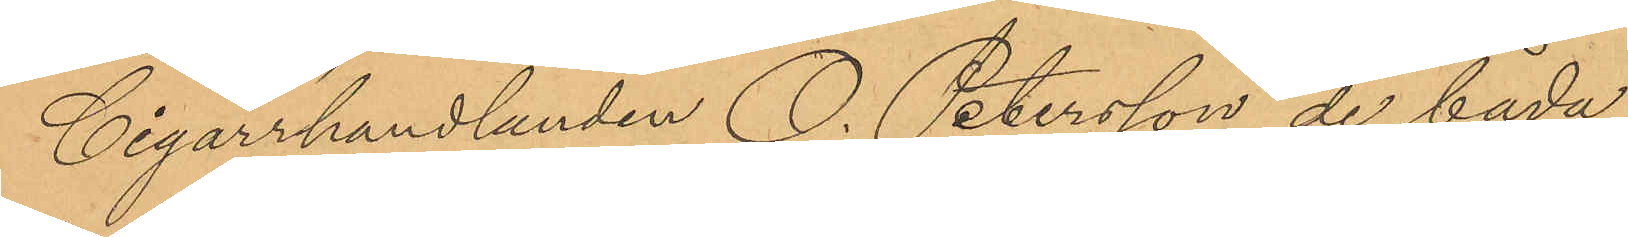Cigarrhandlanden O. Petersson de båda
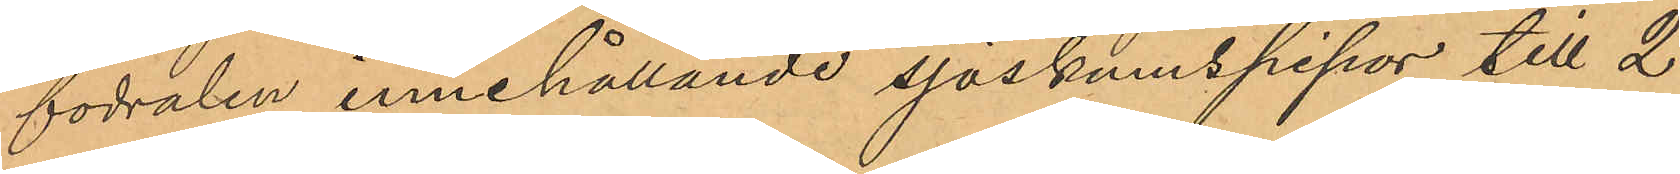fodralen innehållande sjöskumspipor till 2
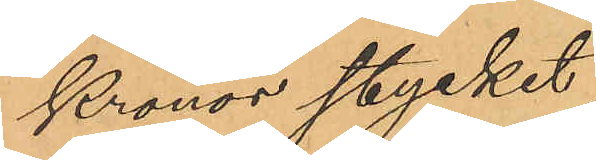Kronor stycket,
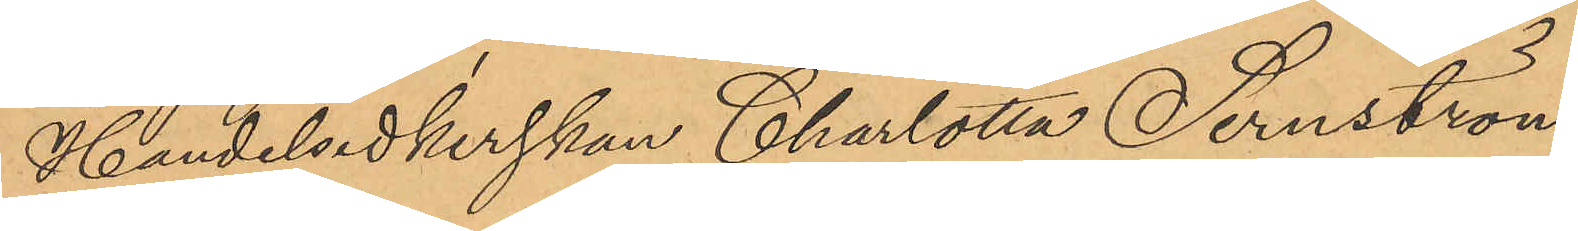Handelsidkerskan Charlotta Sernström
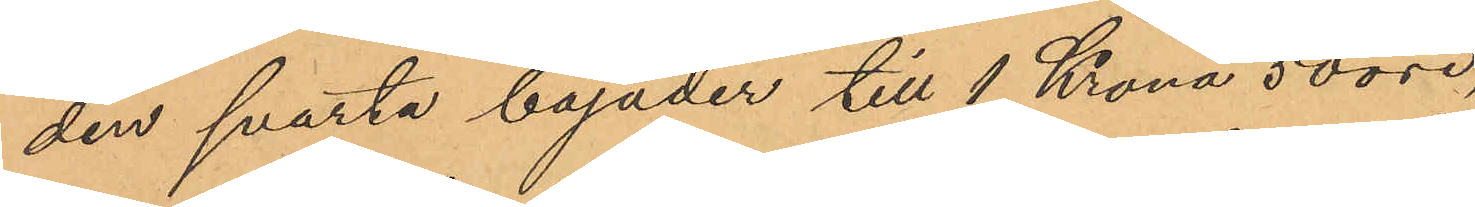den svarta bajader till 1 Krona 50 öre,
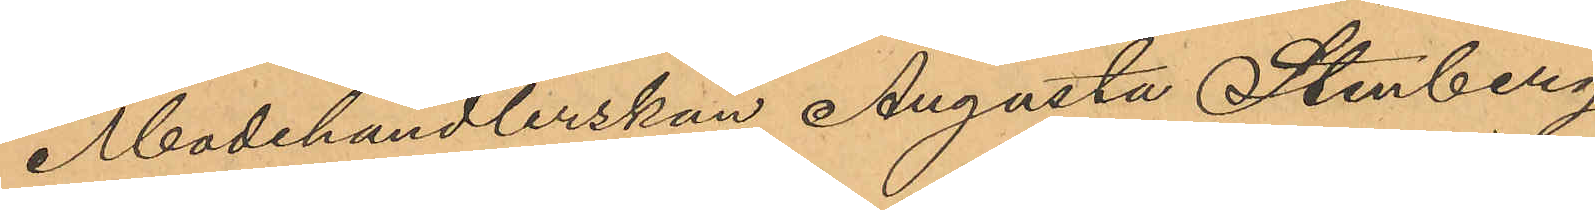Modehandlerskan Augusta Stenberg
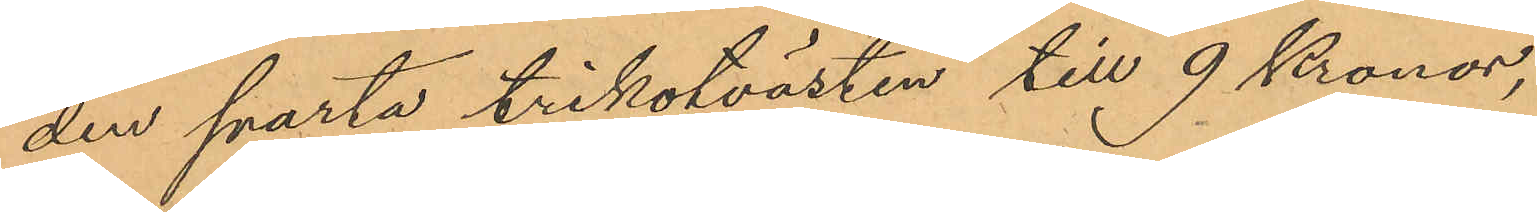den svarta trikotvästen till 9 Kronor,
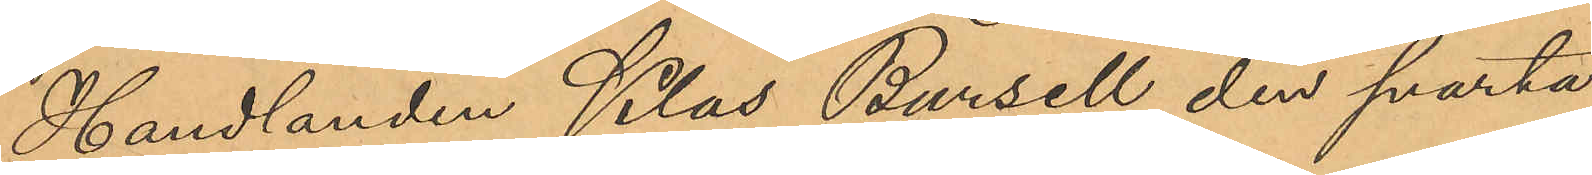Handlanden Klas Bursell den svarta
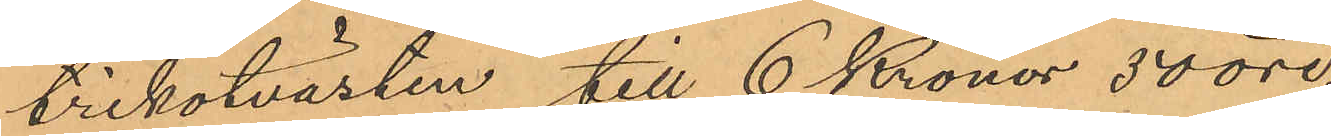trikotvästen till 6 Kronor 50 öre,
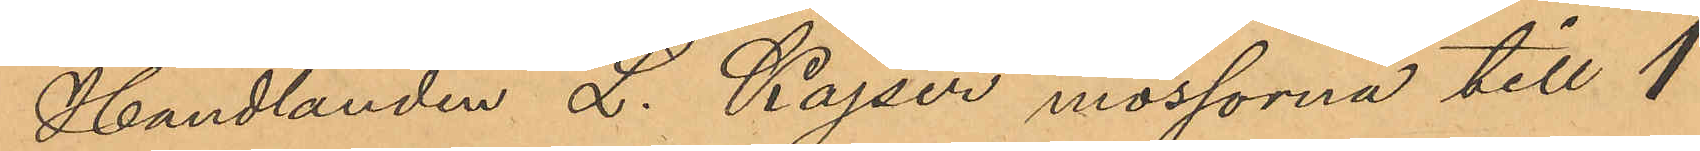Handlanden L. Kajser mössorna till 1
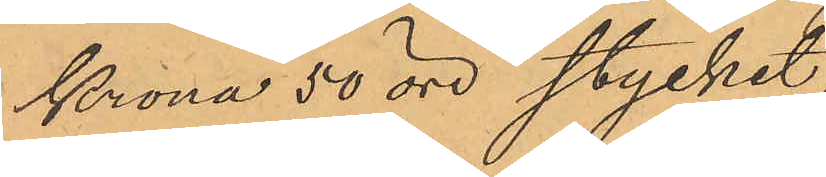Krona 50 öre stycket,
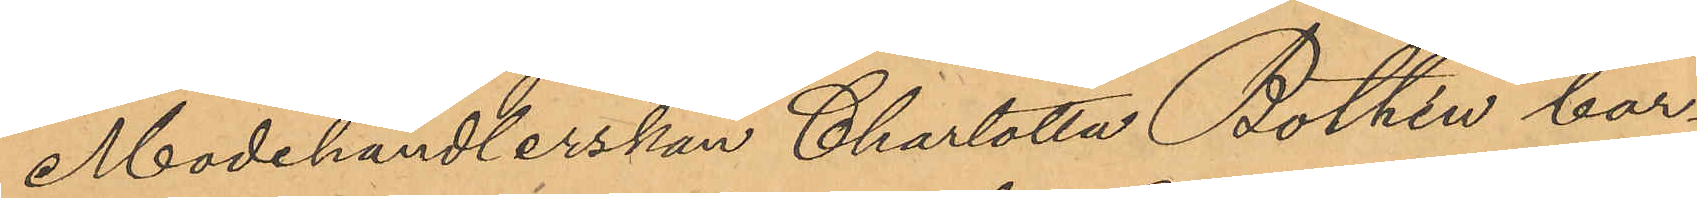Modehandlerskan Charlotta Bothén bar¬
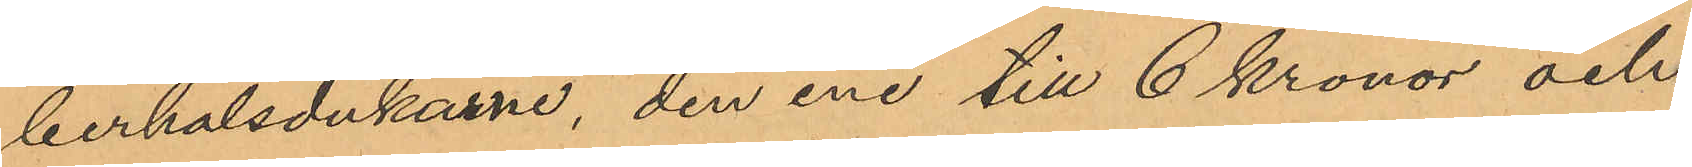berhalsdukarne, den ene till 6 kronor och
